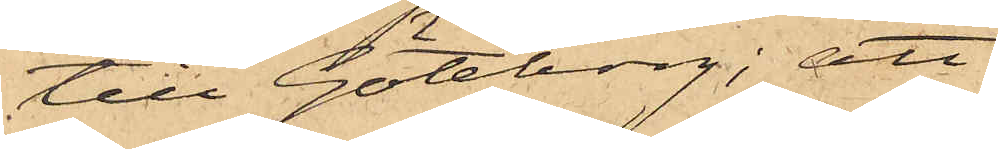till Göteborg; att
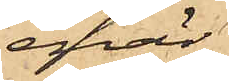enär
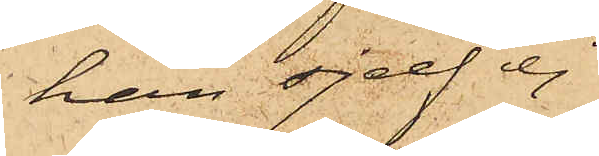han sjelf ej
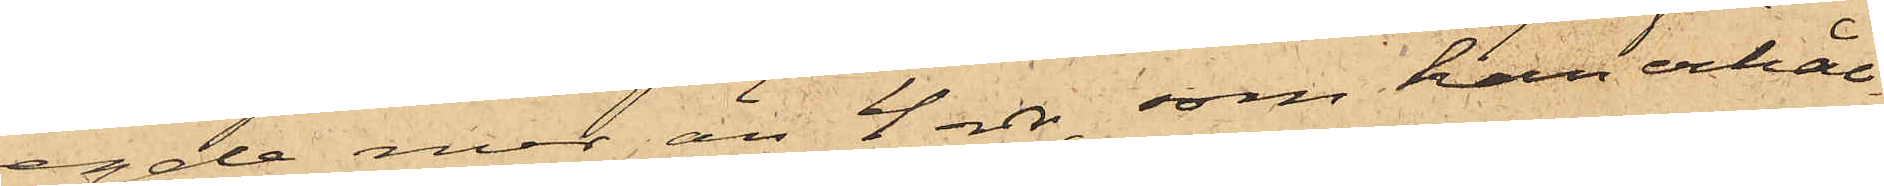egde mer än 4 rdr, som han erhål¬
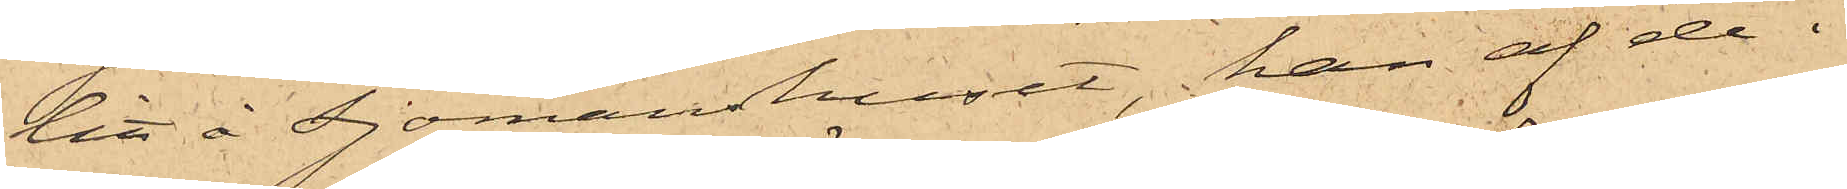lit å Sjömanshuset, han af de i
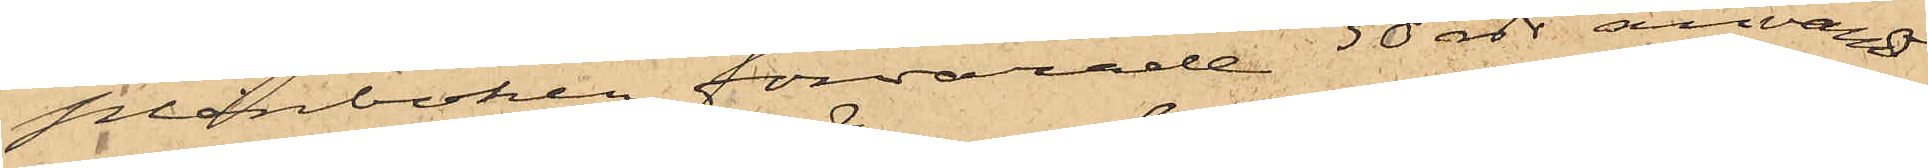plånboken förvarade 30 rdr användt
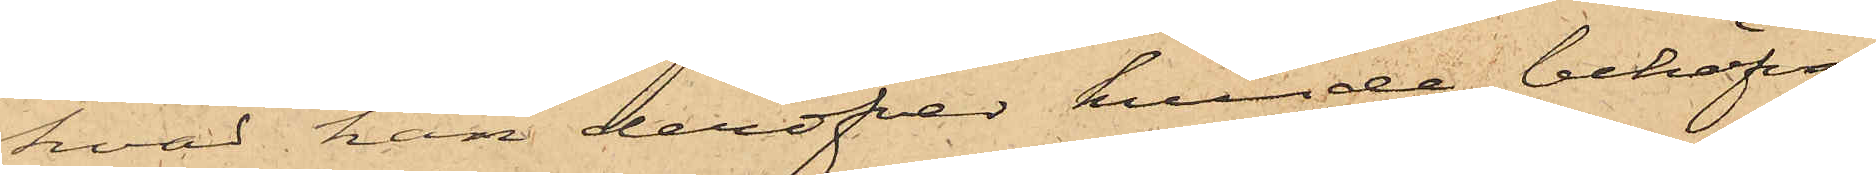hvad han deröfver kunde behöfva
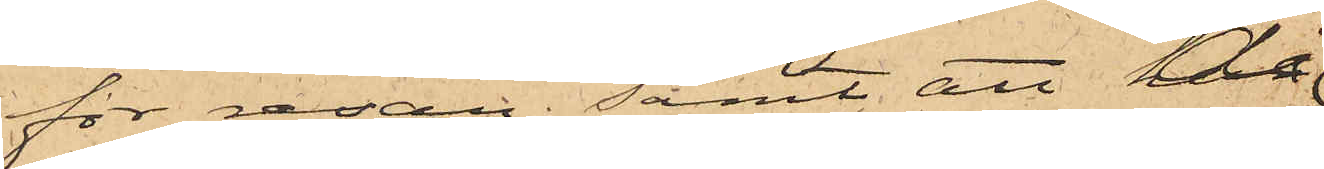för resan; samt att då
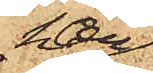han
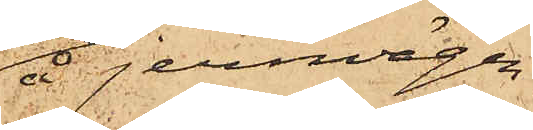å jernvägen
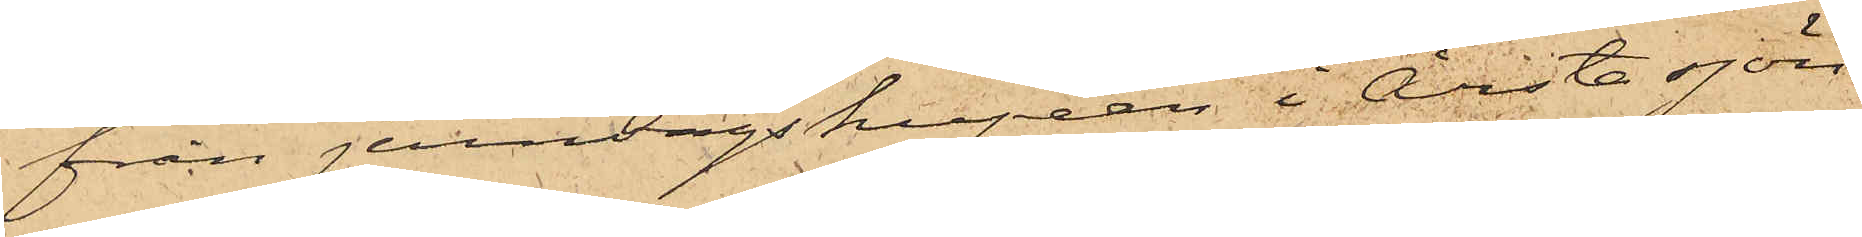från jernvägskupéen i Årsta sjön
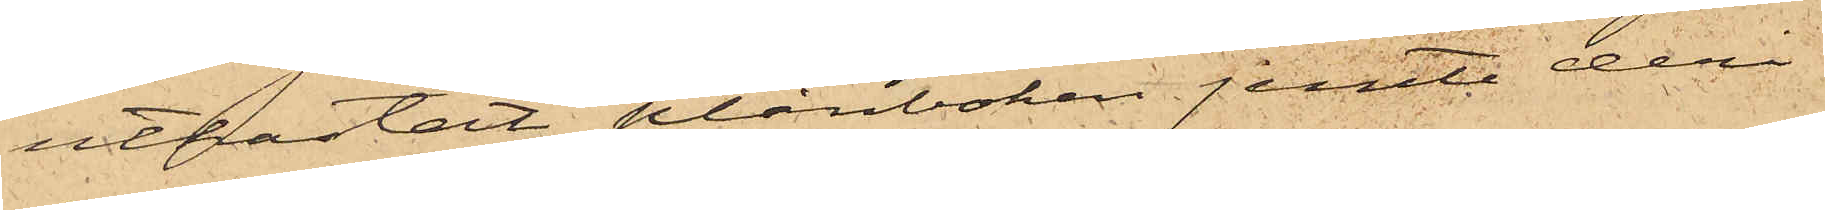utkastat plånboken jemte deri
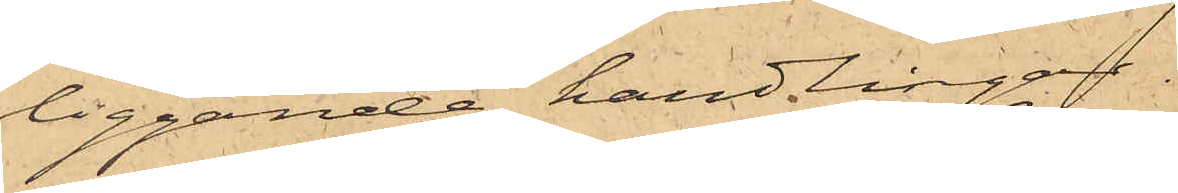liggande handlingar.
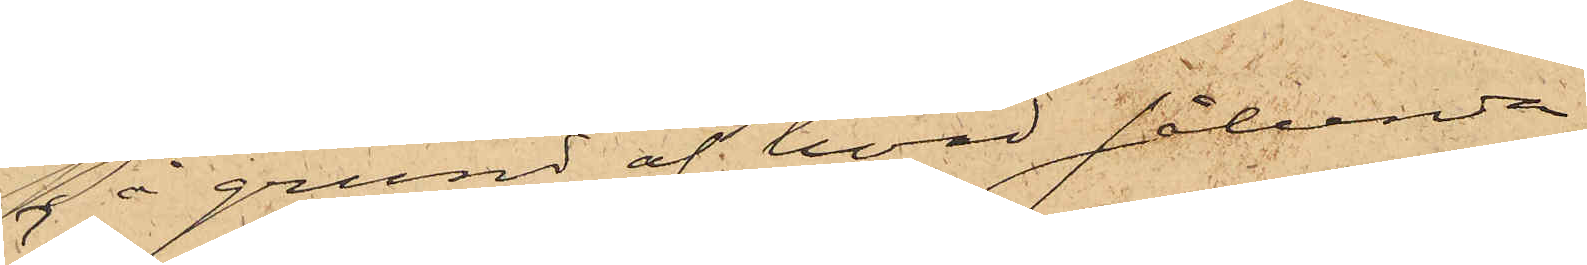På grund af hvad sålunda
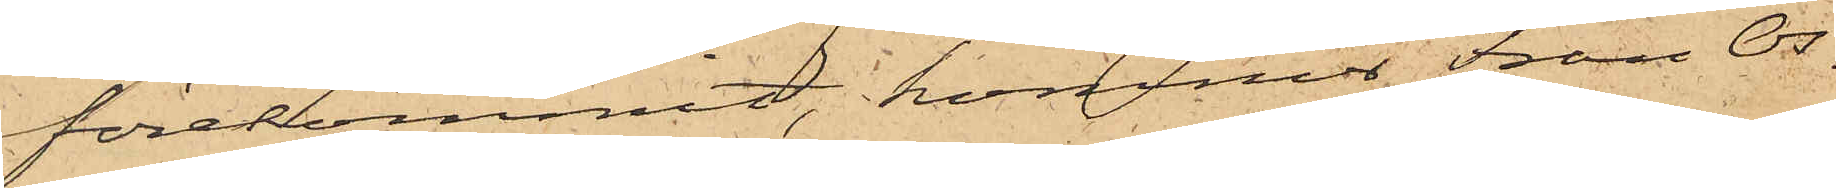förekommit, kommer Fran Os¬
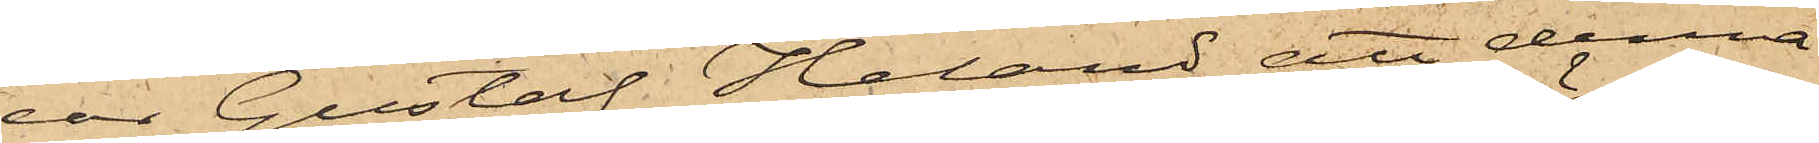car Gustaf Heland att denna
